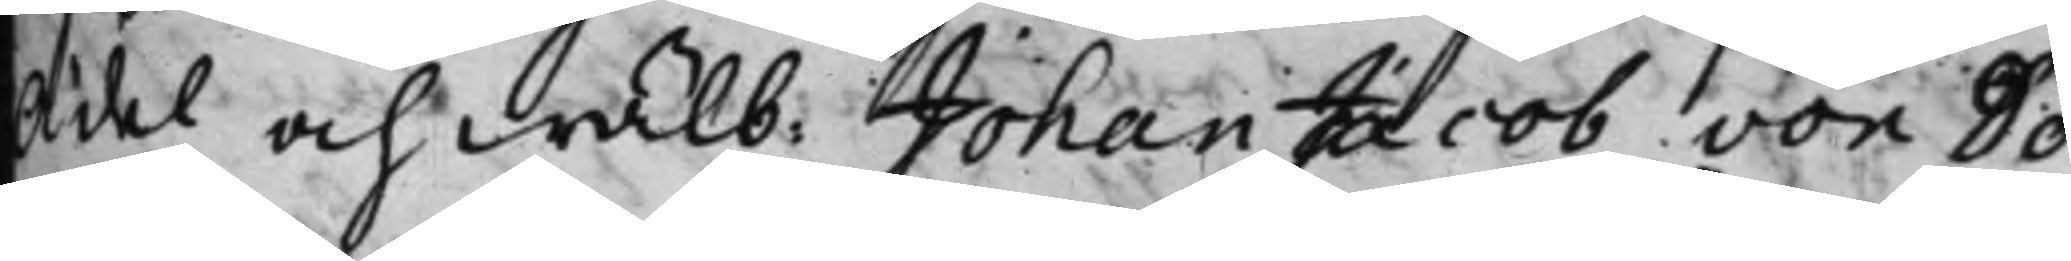Ädel och Wälb: Johan Jacob von Dö¬
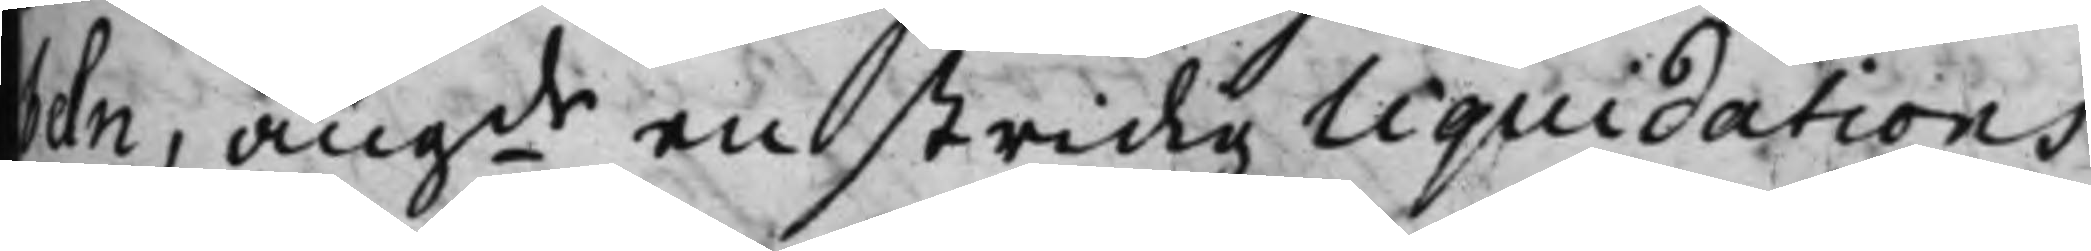beln, angde en stridig Liquidations
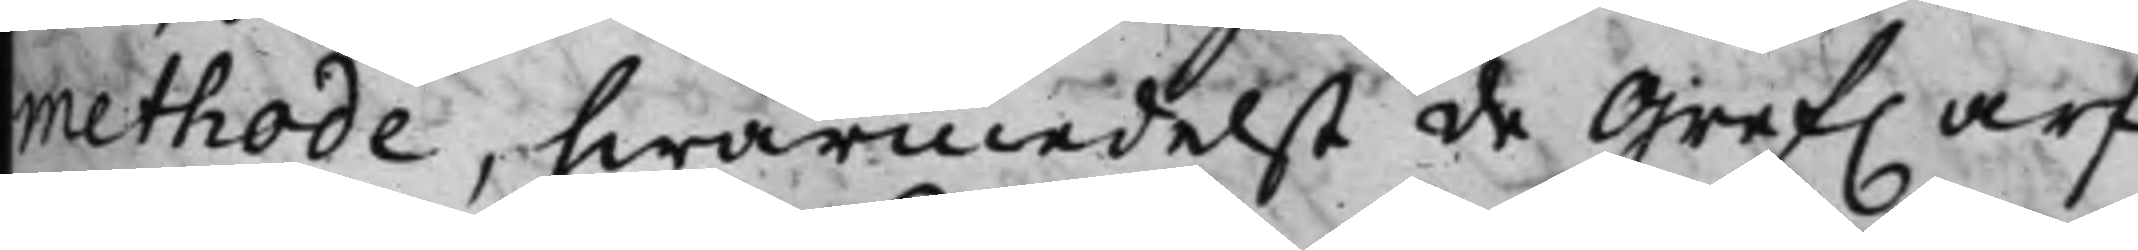methode, hwarmedelst de Gref. arf¬
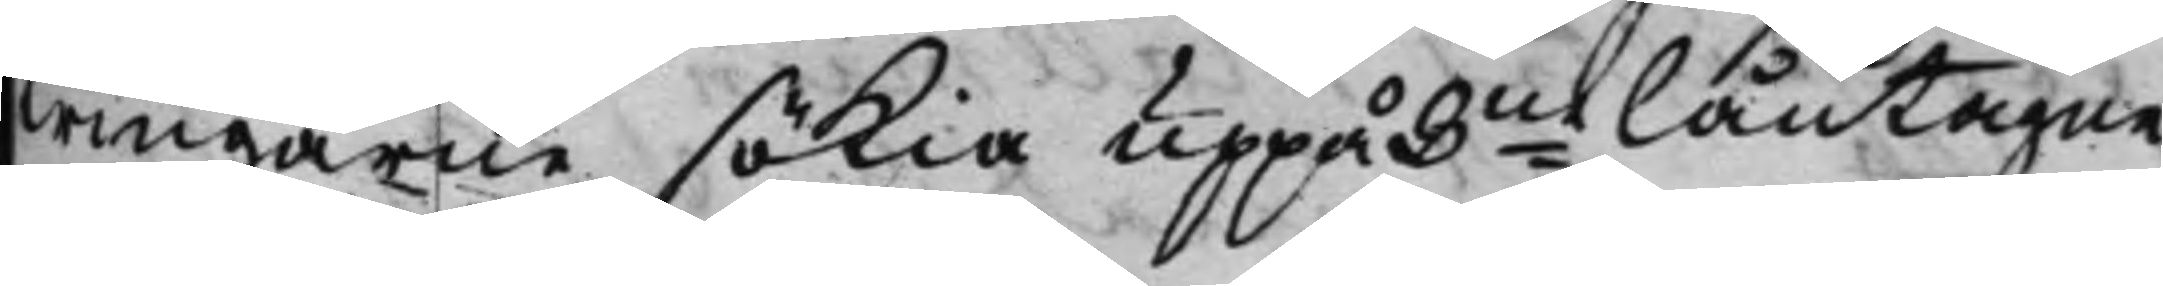wingarne sökia uppå 3ne låntagne
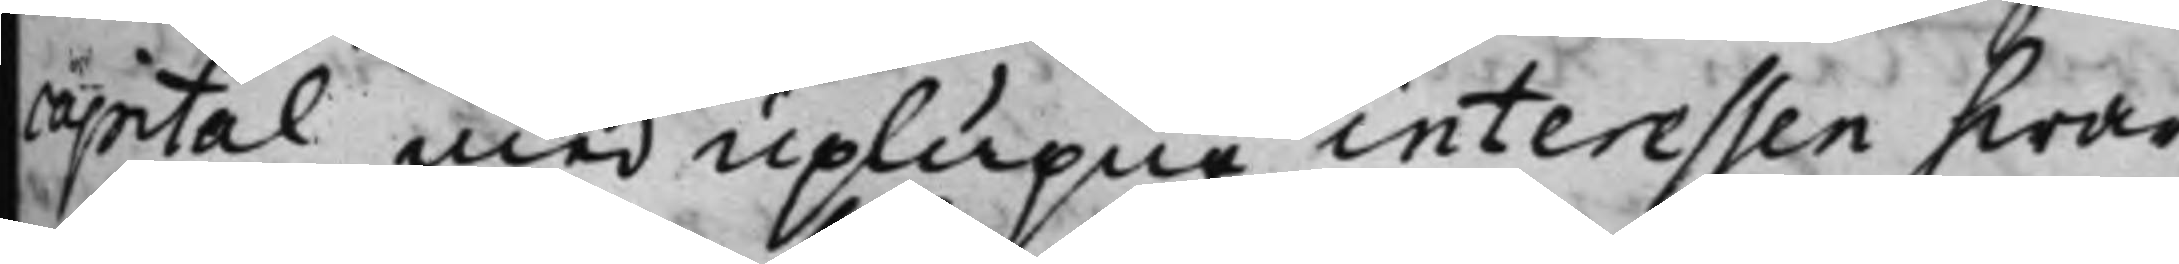capital med uplupne interessen hwar
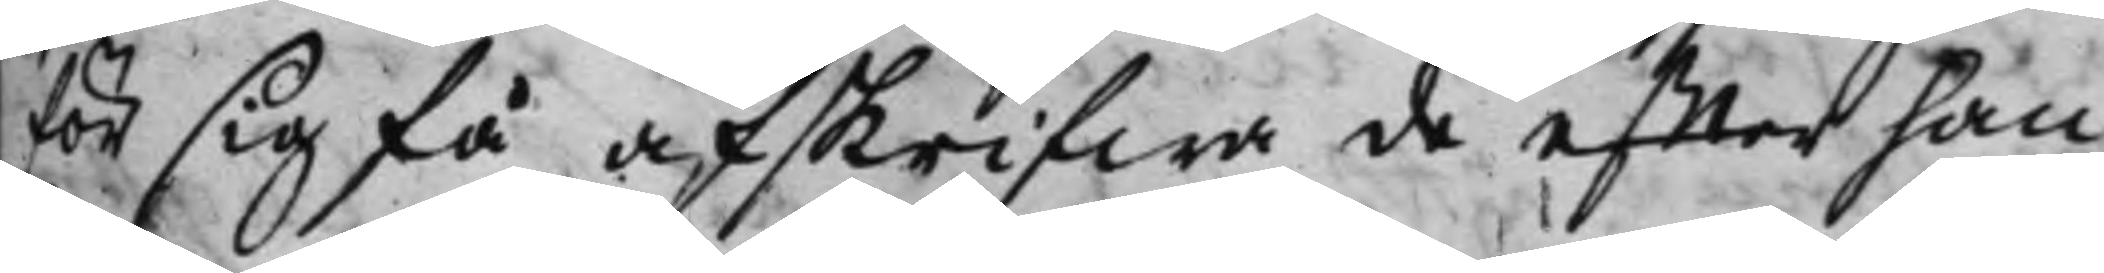för sig få afskrifwa de effter han¬
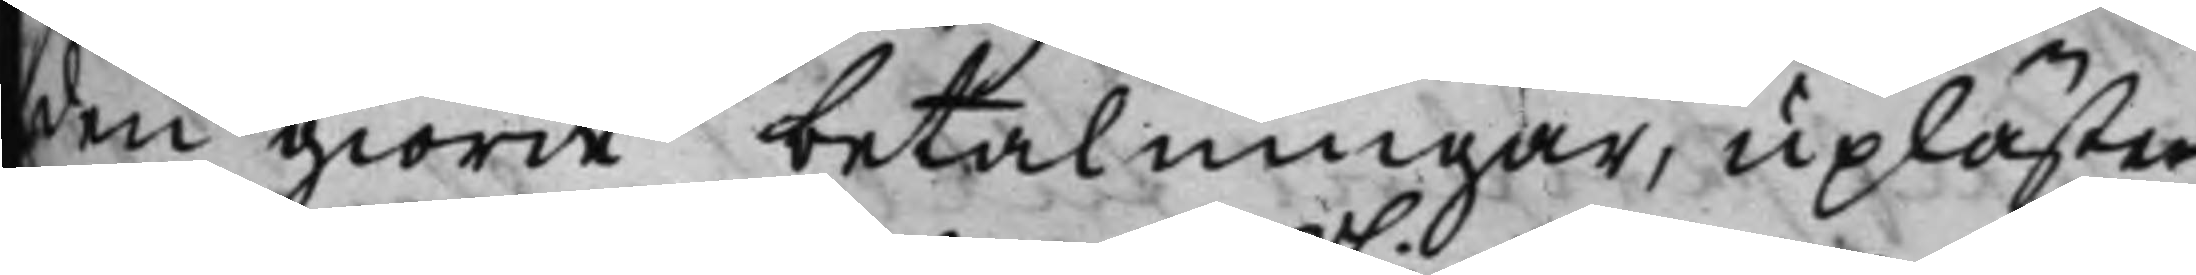den giorde betalningar, upläste
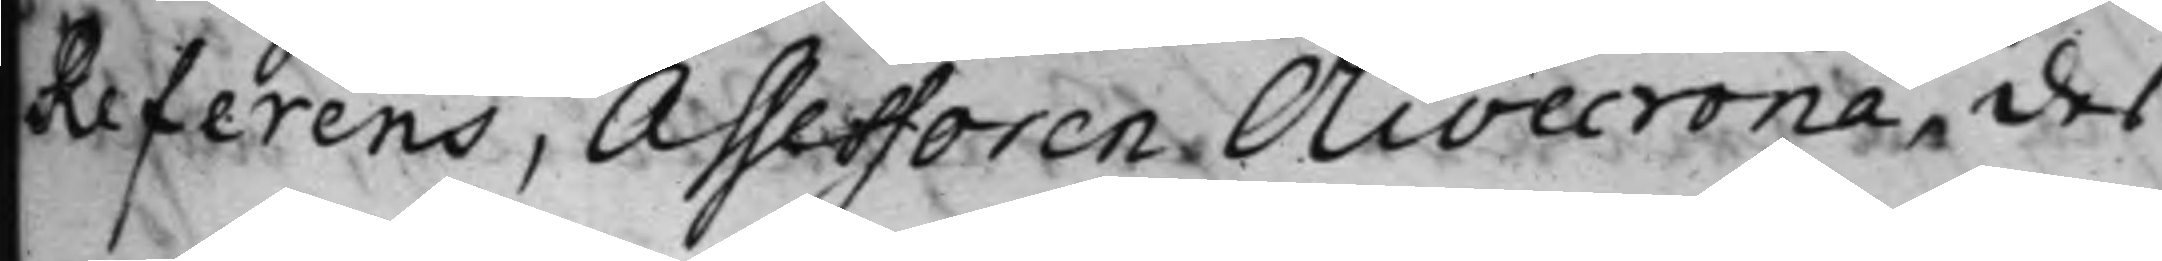Referens, Assessoren Olivecrona, des
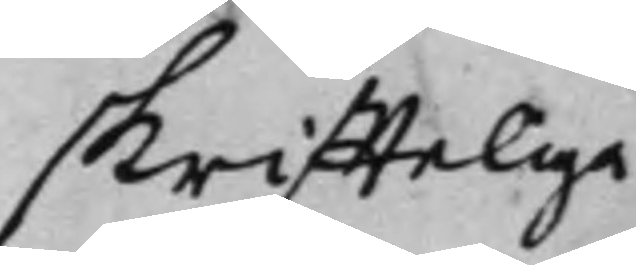skriffteliga
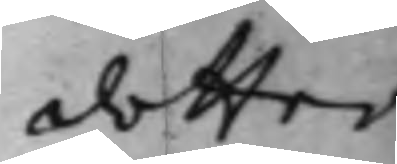dotter
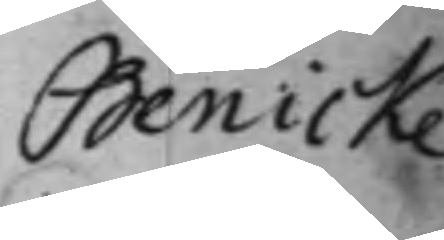Benicke
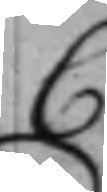C
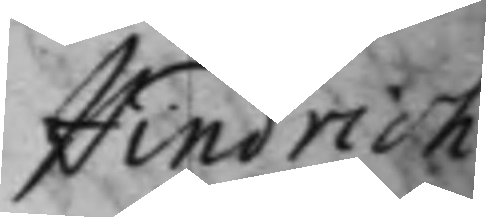Hindrich
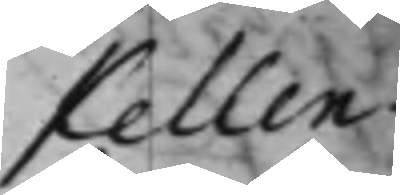Kellen¬
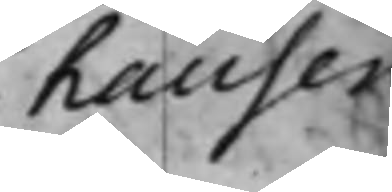hauser
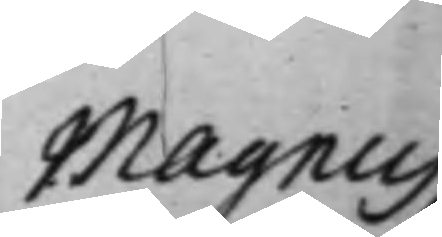Magnus
